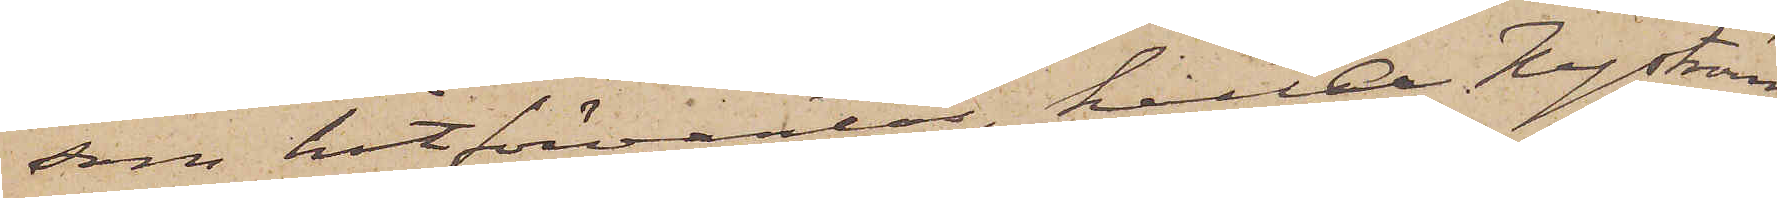som hitförväntas, kalla Nyström
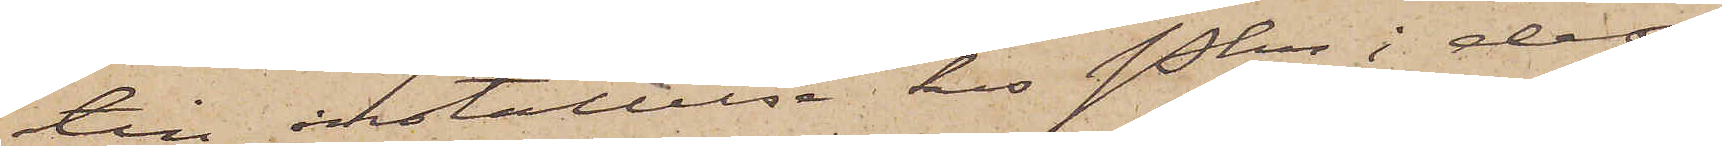till inställelse hos Pkn i dess
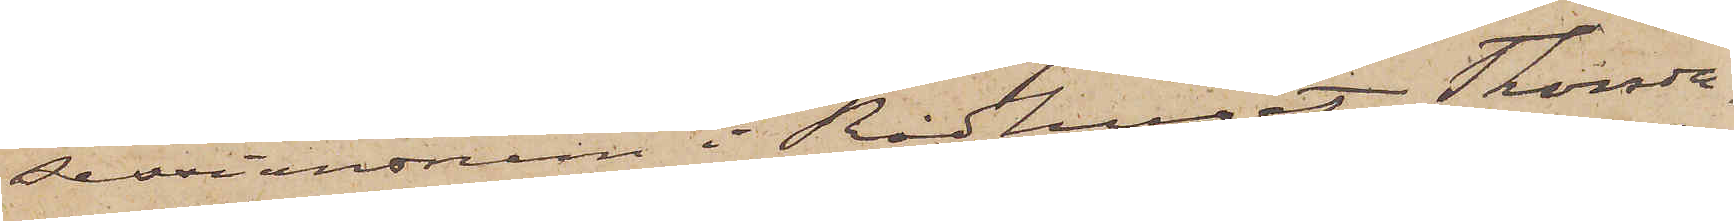sessionsrum i Rådhuset Thorsda¬
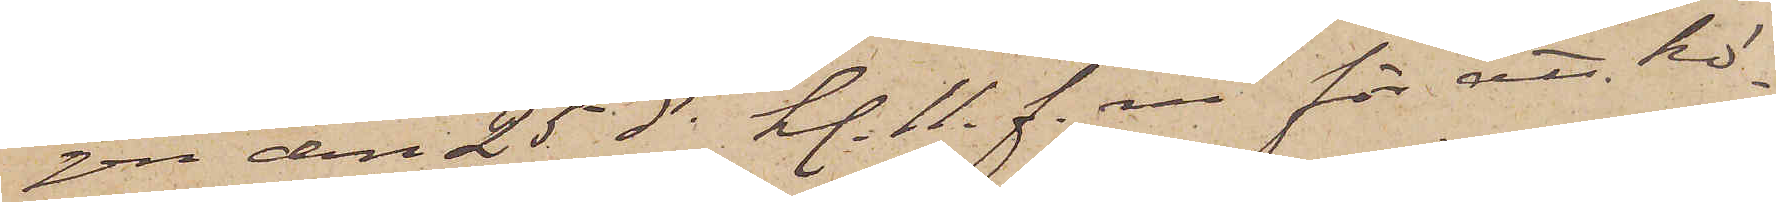gen den 25 ds kl. 11. f. m. för att hö¬
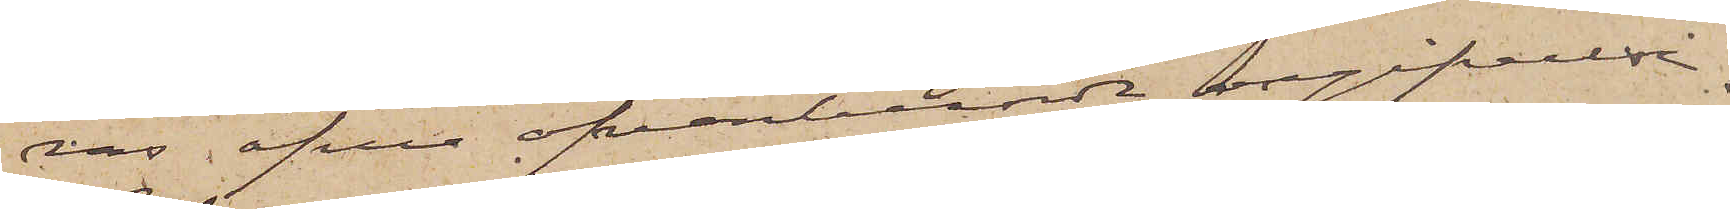ras öfver ofvanberörde angifvelse.
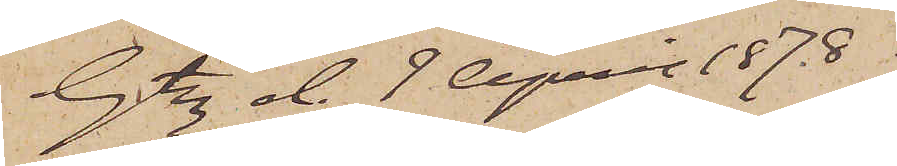Gtbg d. 9 April 1878.
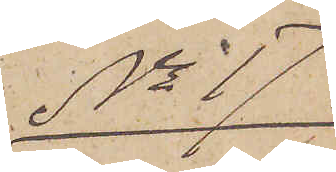No 17
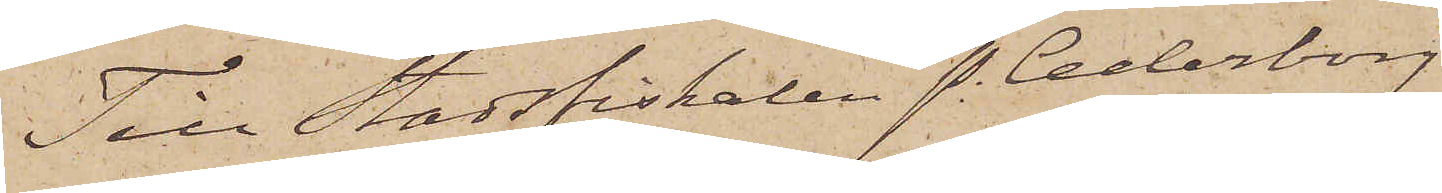Till Stadsfiskalen P. Cederborg
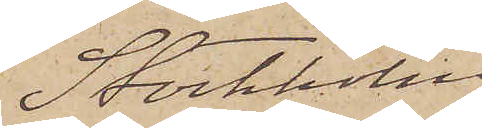Stockholm
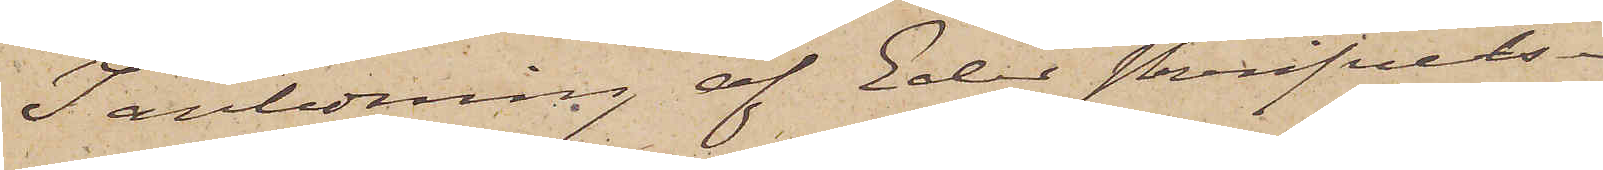I anledning af Eder skrifvelse
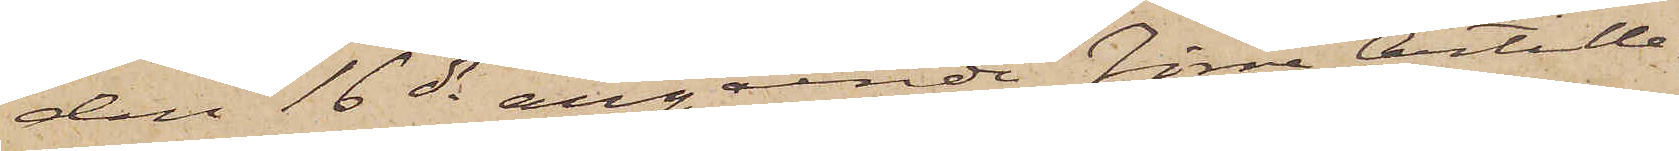den 16 ds angående Förre Artille¬
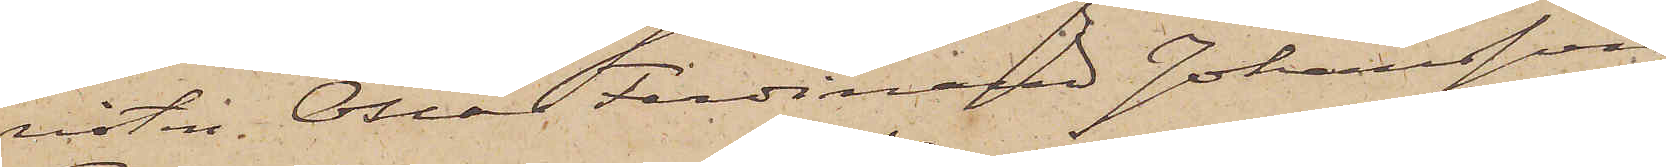risten Oscar Ferdinard Johansson
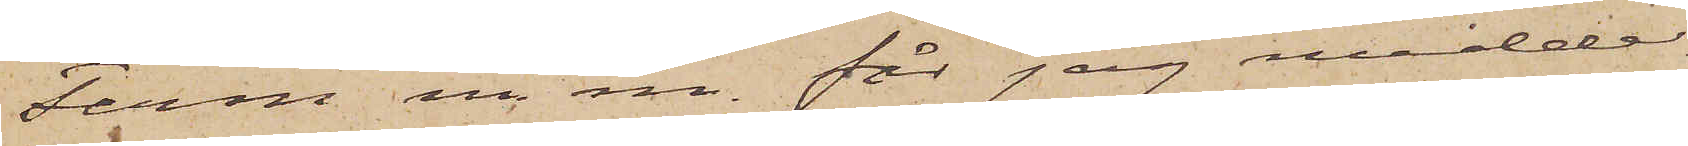Ferm m. m. får jag medde¬
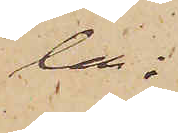la:
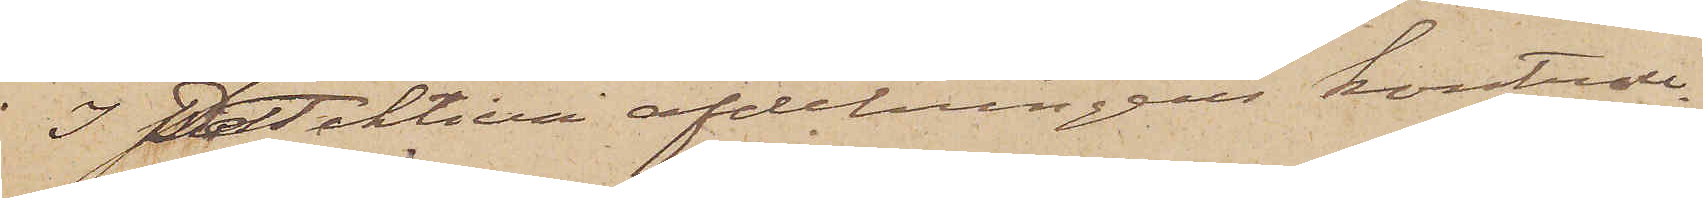I Detektiva afdelningens kontroll¬
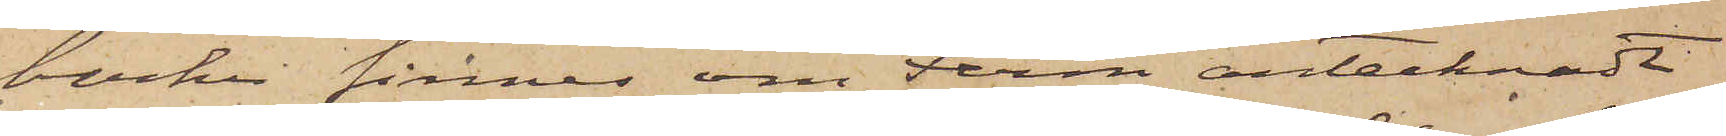böcker finnes om Ferm antecknadt
